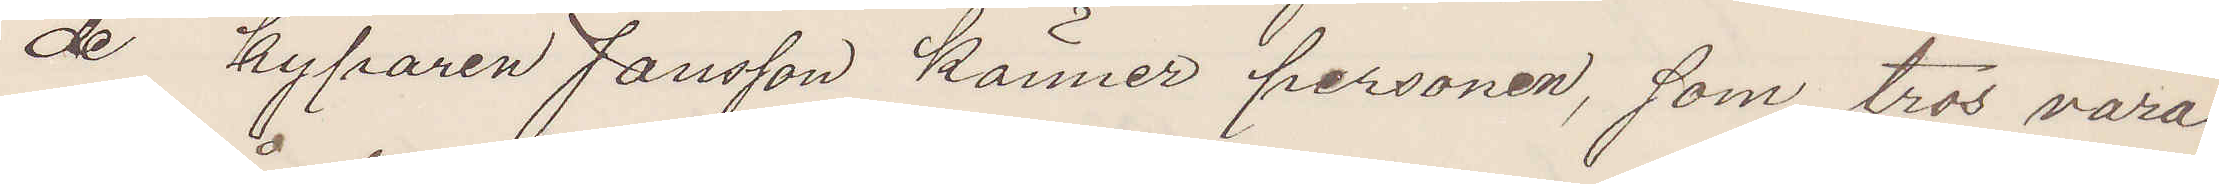de kyparen Jansson känner personen, som tros vara
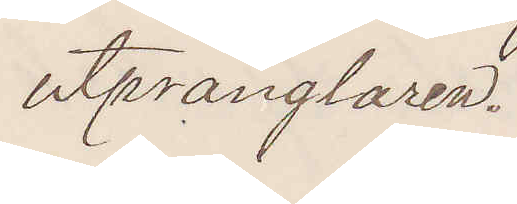utprånglaren.
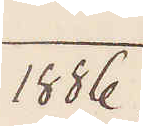1886.
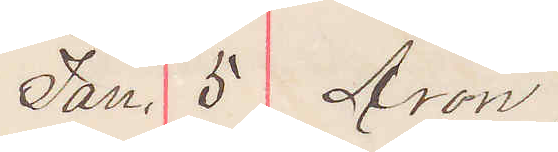Jan. 5 Aron
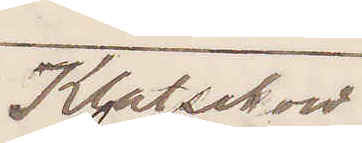Klatskow
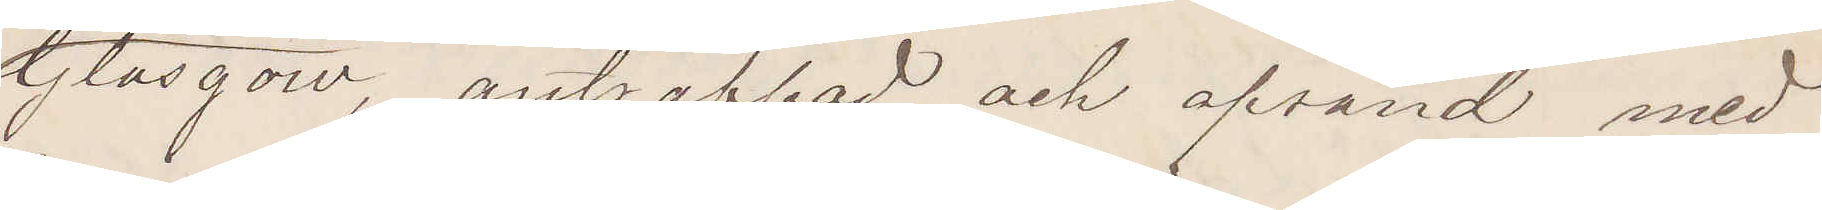Glasgow, anträffad och afsänd med
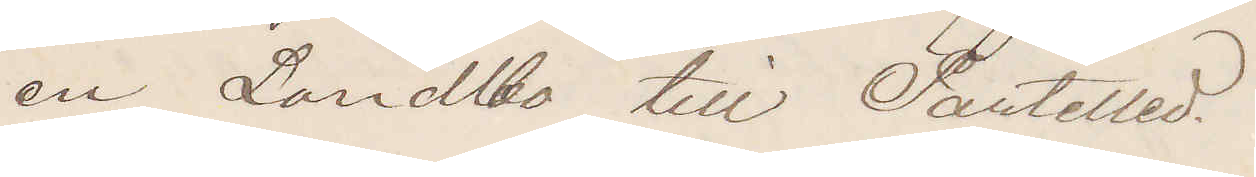en Landtbo till Partilled.
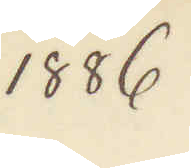1886
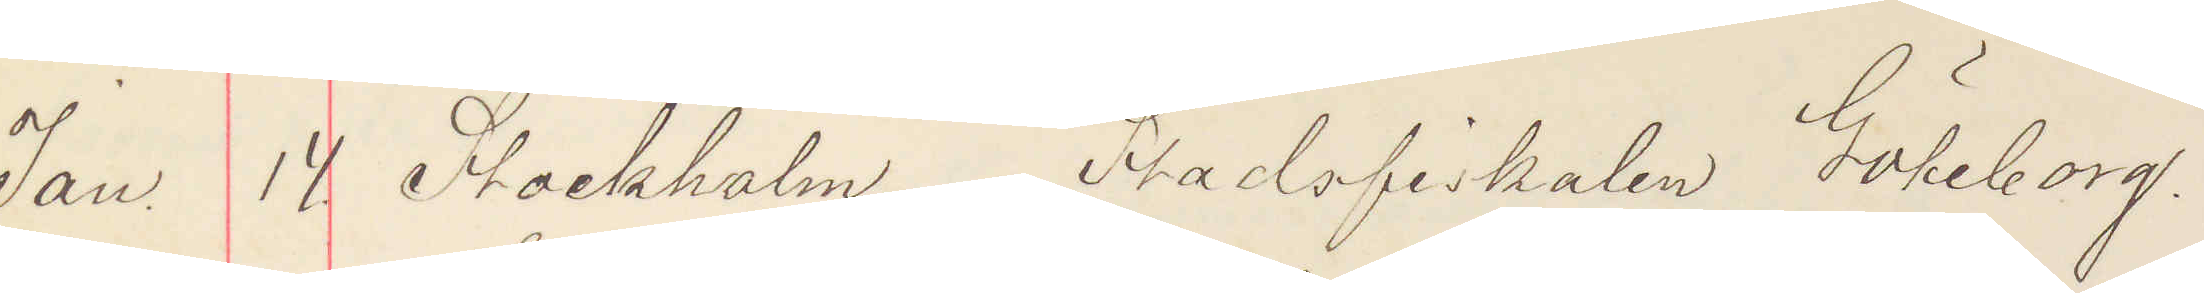Jan. 14. Stockholm. Stadsfiskalen Göteborg.
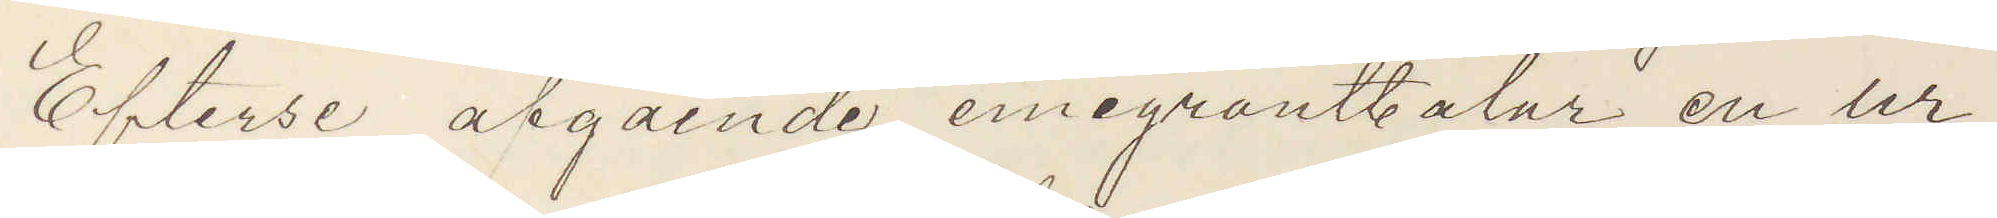Efterse åtgående emigrantbåtar en ur¬
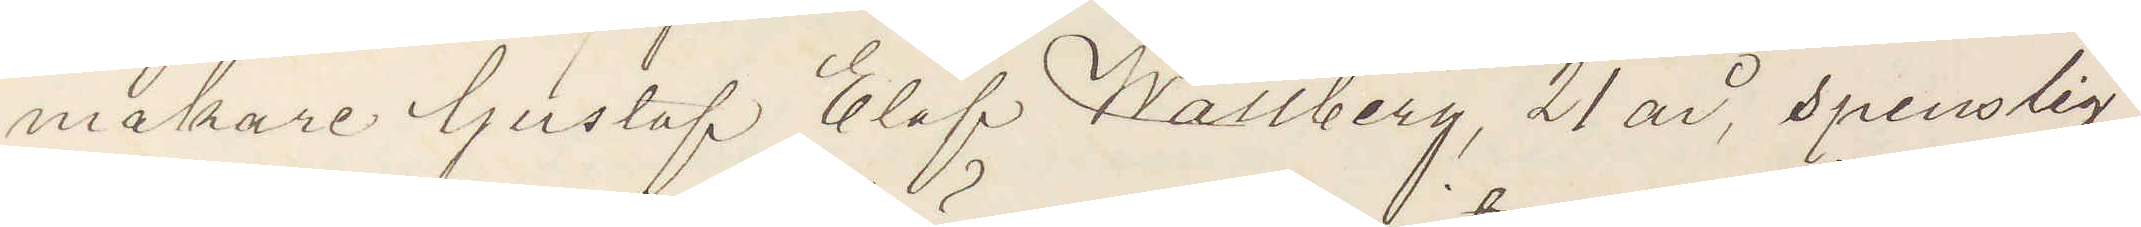makare Gustaf Elof Wallberg, 21 år, spenslig
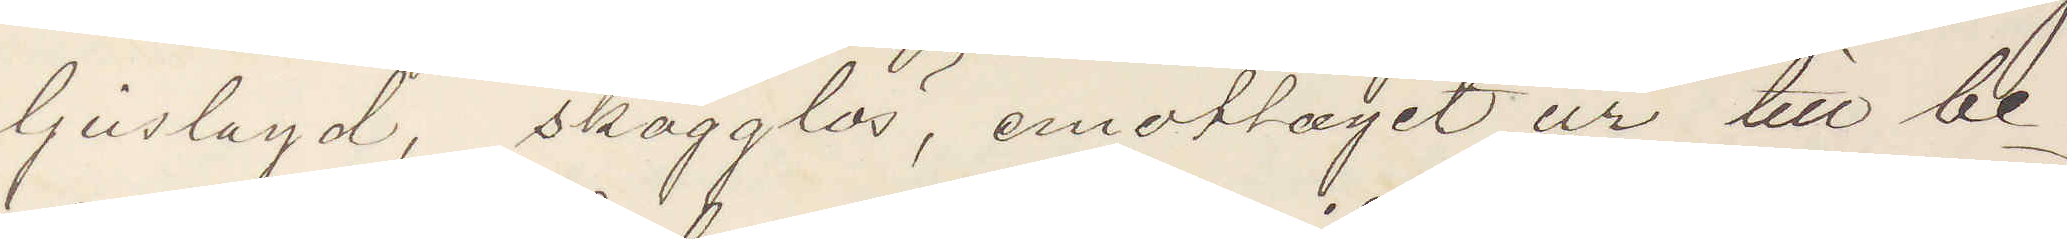ljuslagd, skäggllös, emottagit ur till be¬
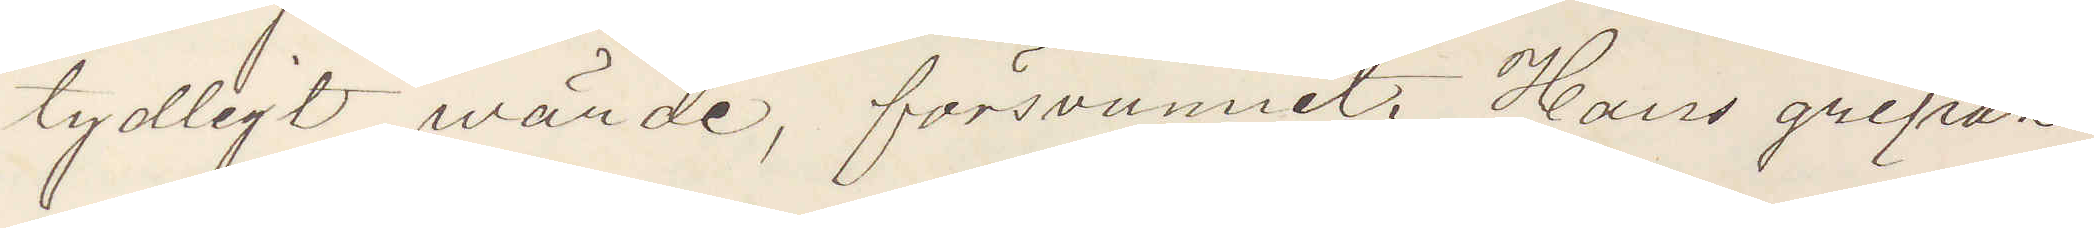tydligt wärde, försvunnit. Hans gripan¬
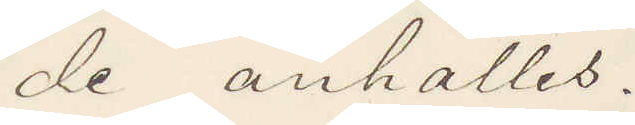de anhålles.
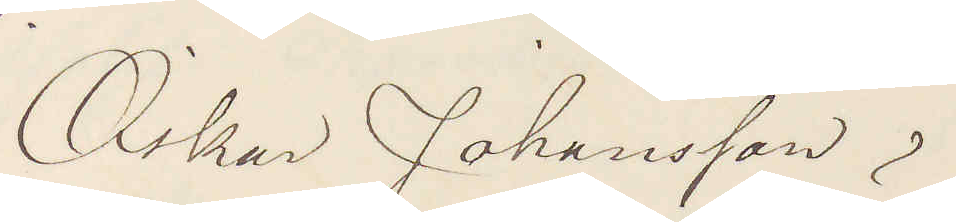Oskar Johansson
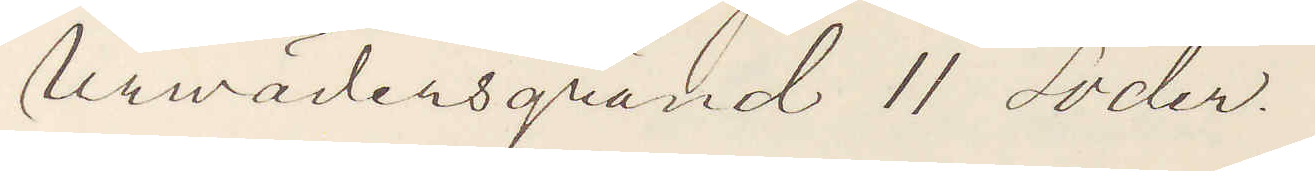Urwädersgränd 11 Söder.
